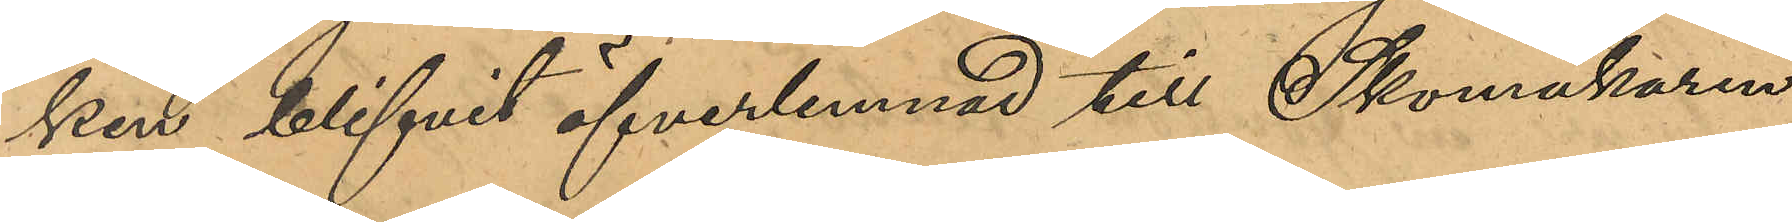ken blifvit öfverlämnad till Skomakaren
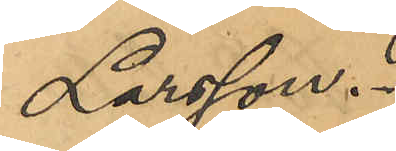Larsson.
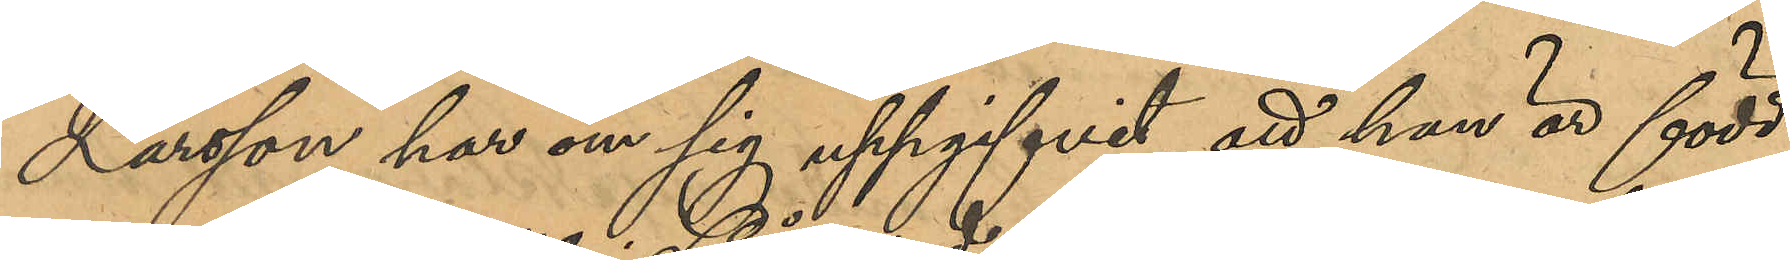Larsson har om sig uppgifvit, att han är född
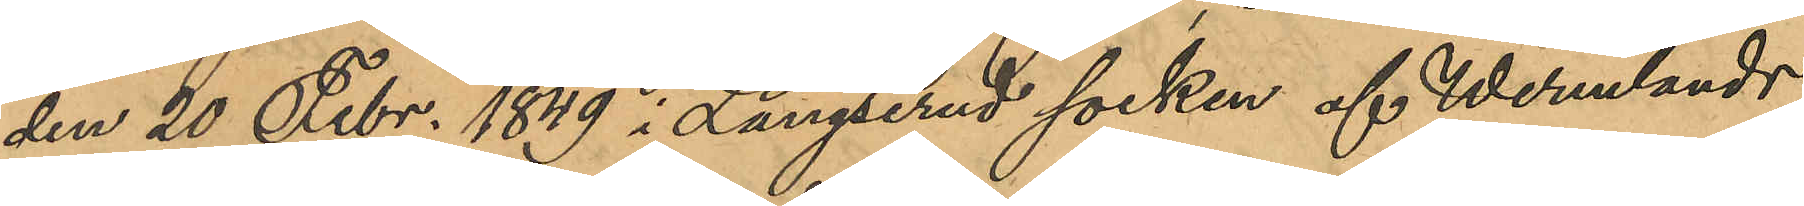den 20 Febr. 1849 i Långseruds socken af Wermlands
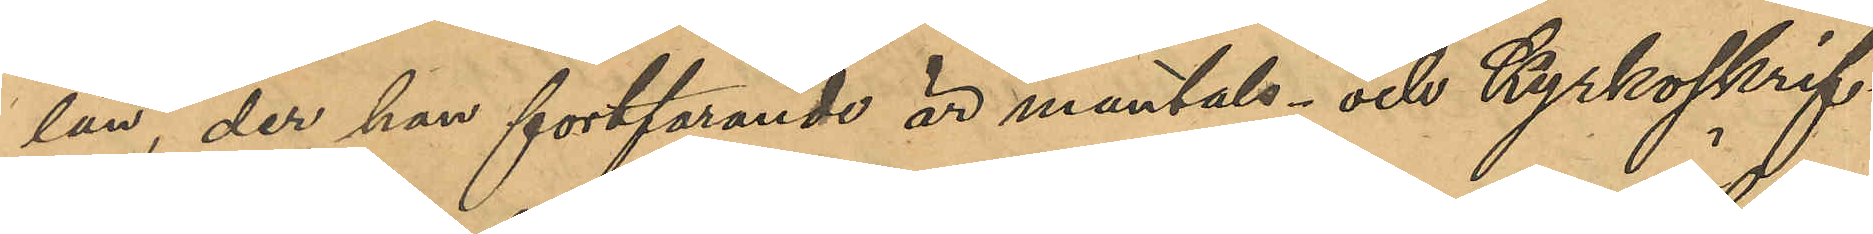län, der han fortfarande är mantals- och kyrkoskrif¬
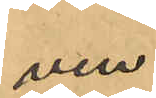ven.
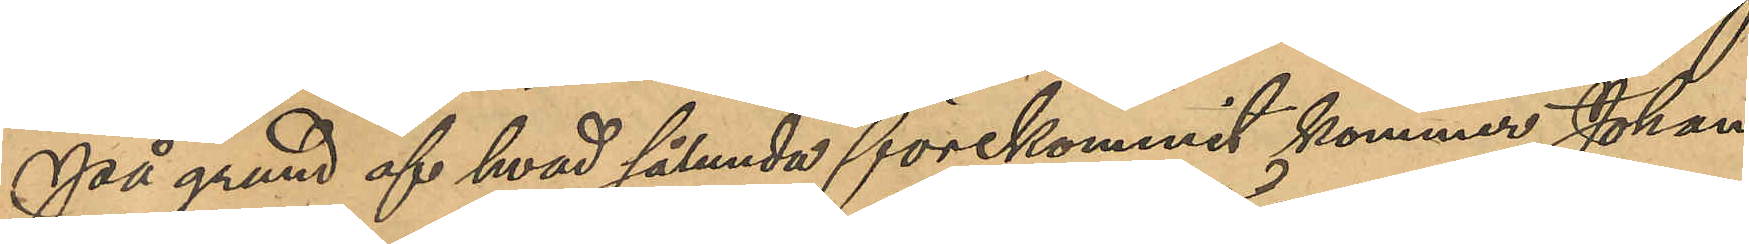På grund af hvad sålunda förekommit kommer Johan
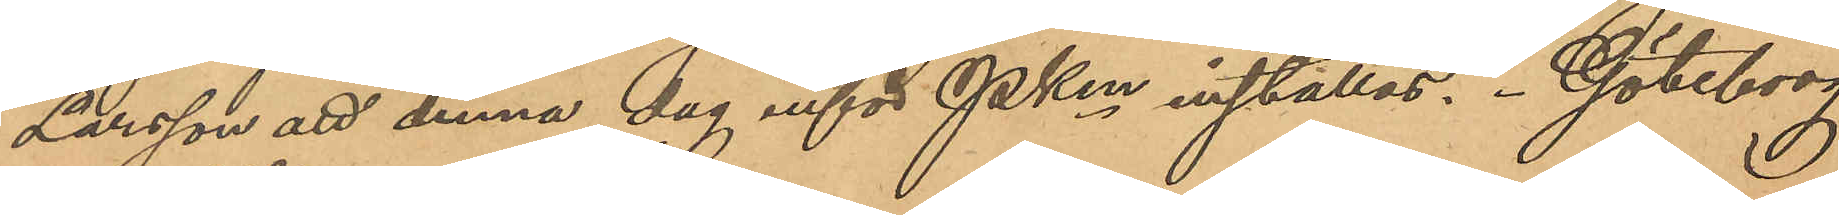Larsson att denna dag inför Pken inställas. Göteborg
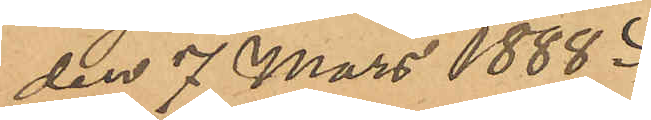den 7 Mars 1888.
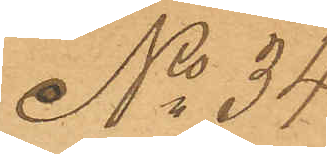No 34
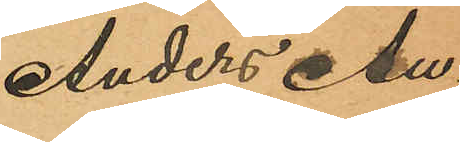Anders Au¬
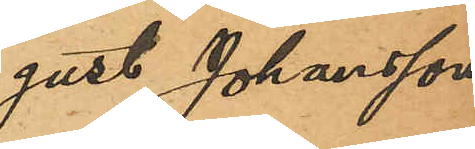gust Johansson
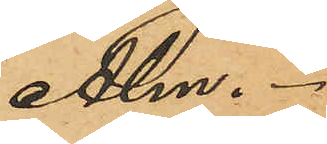Alm.
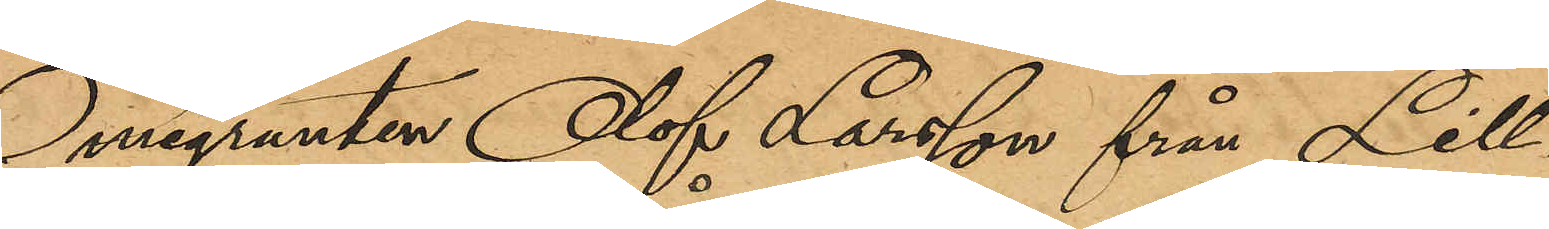Emigranten Olof Larsson från Lill¬
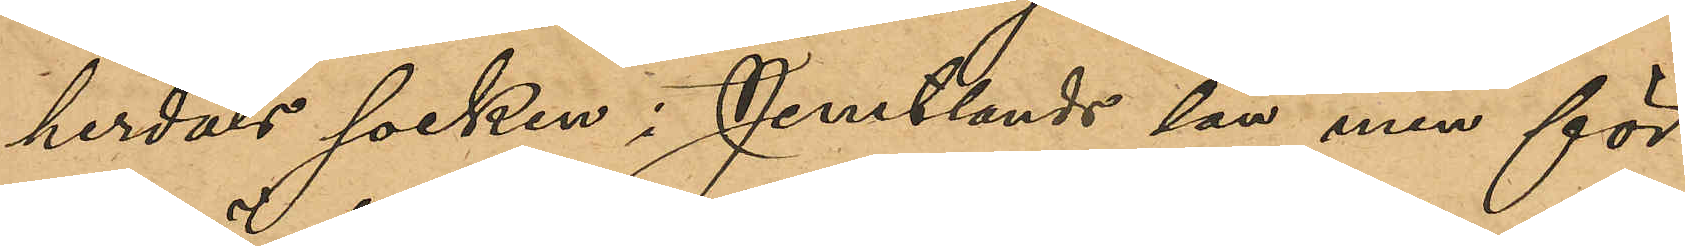herdals socken i Jemtlands län men för¬
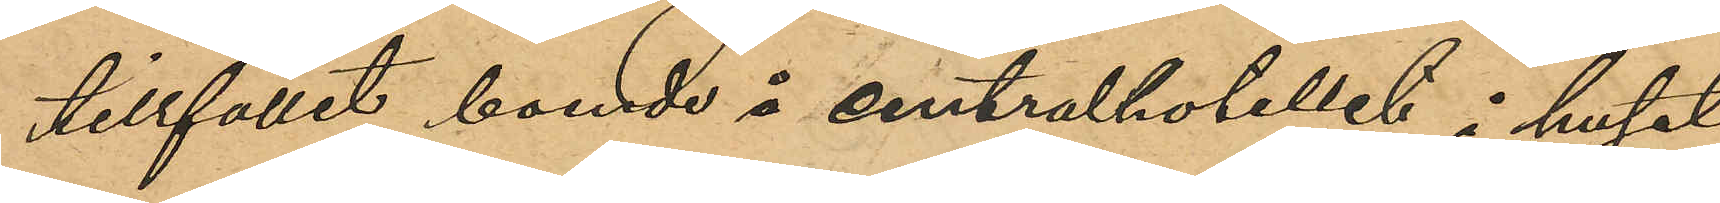tillfället boende å centralhotellet i huset
